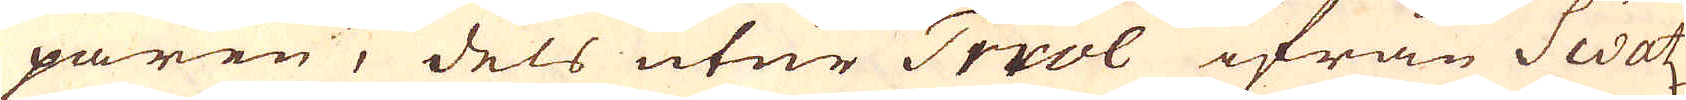paren, dels utur Triol ifrån Swatz,
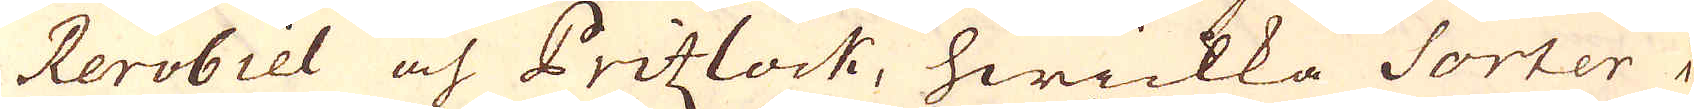Rerobiel och Pritzlock, hwilka Sorter i
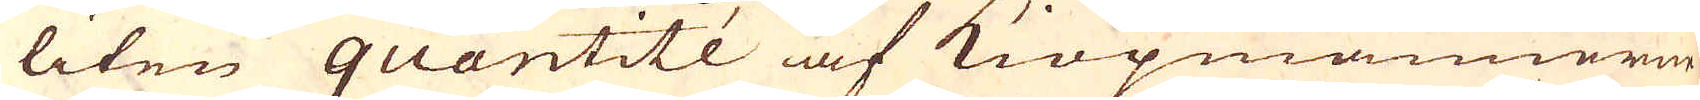liten quantité af Kiöpmännerna
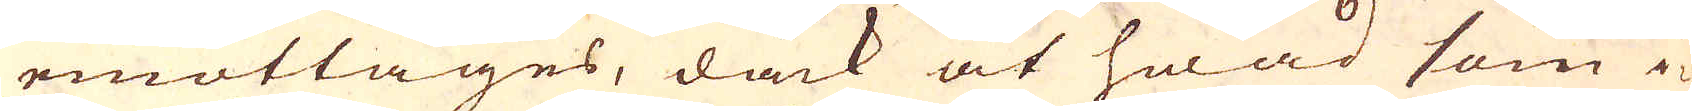emottages, dåck at hwad som i-
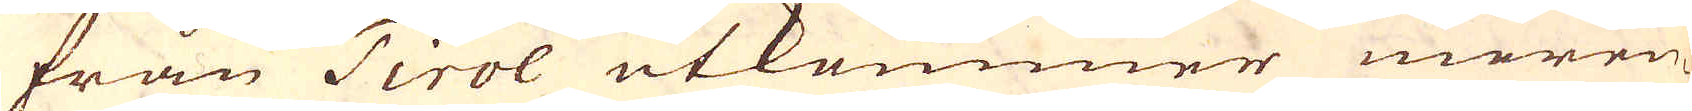från Tirol utkommer meren-
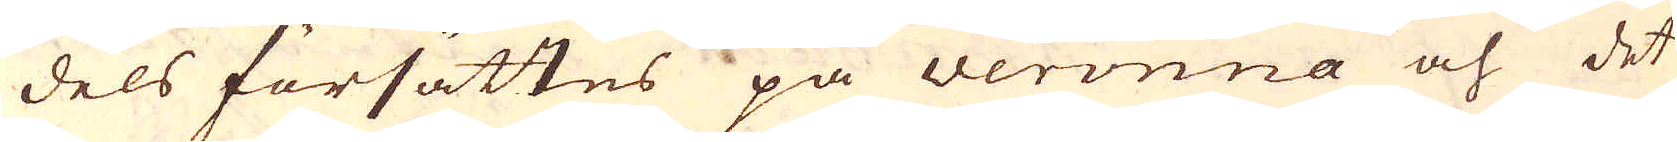dels försättes på veronna och det
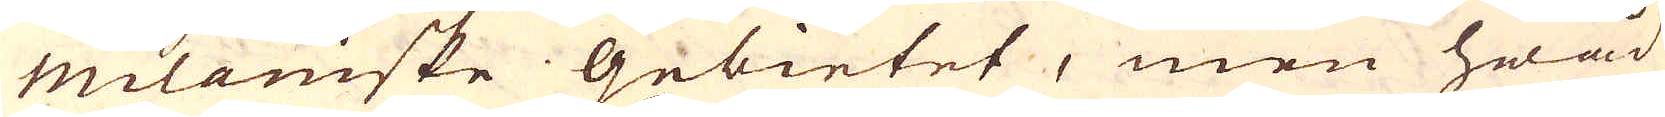Milaniske gebietet, men hwad
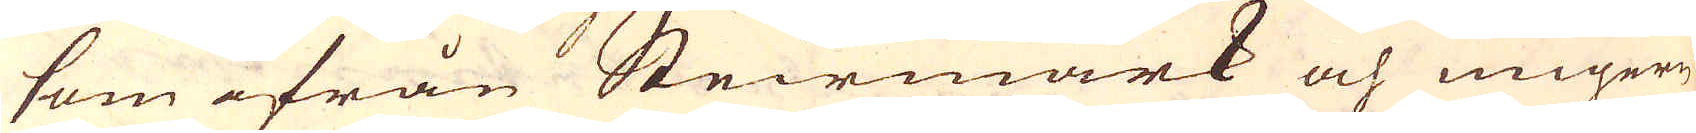som ifrån Steirmark och Ungern
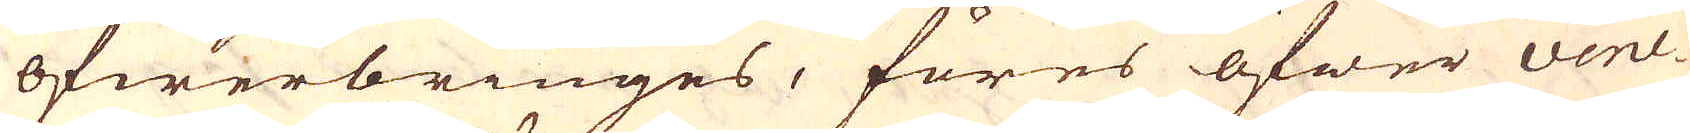öfwerbringes, föres öfwer vene-
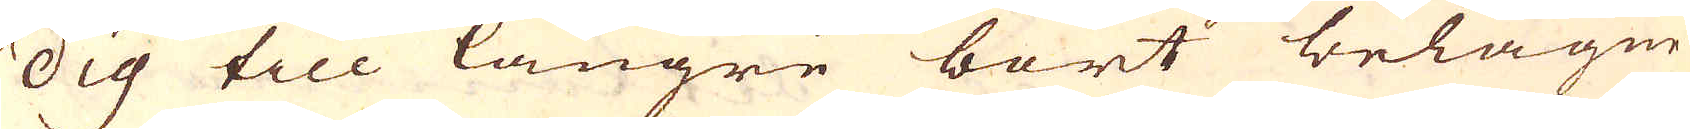dig till längre bort belägne
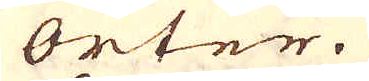orter.
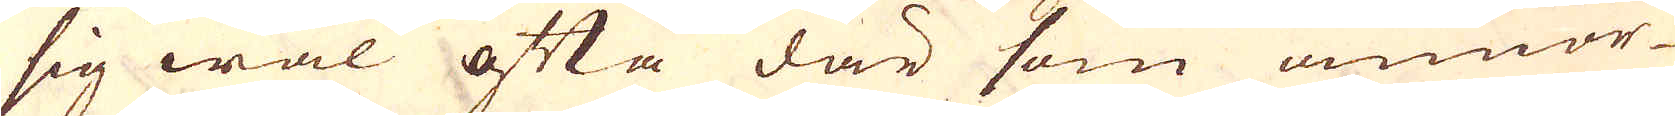sig wäl ofta där som annor-
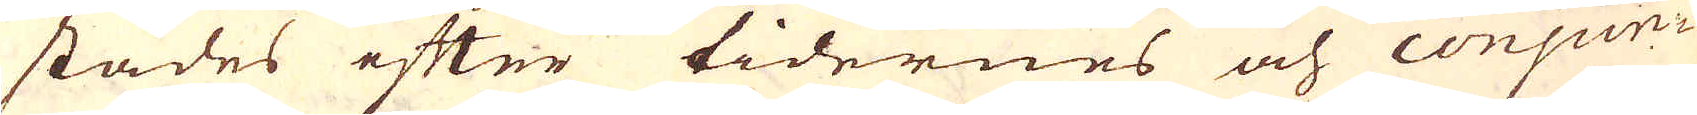städes efter tidernes och conjun-
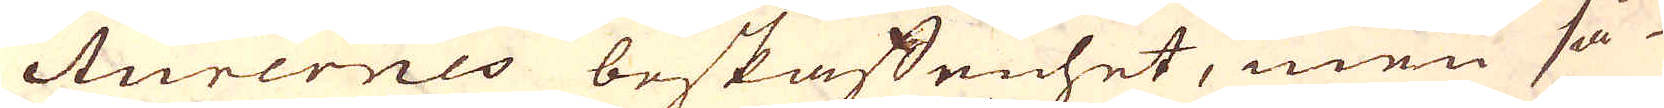cturernes beskaffenhet, men så-
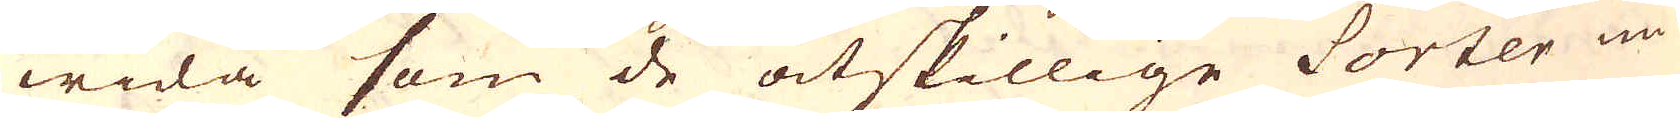wida som de åtskillige Sorter nu-
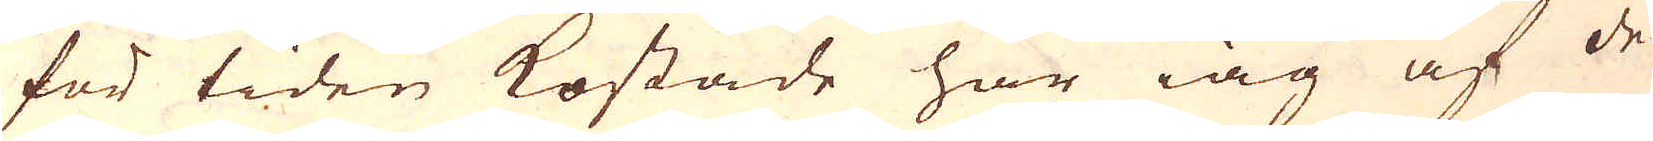för tiden kostade har iag af de
